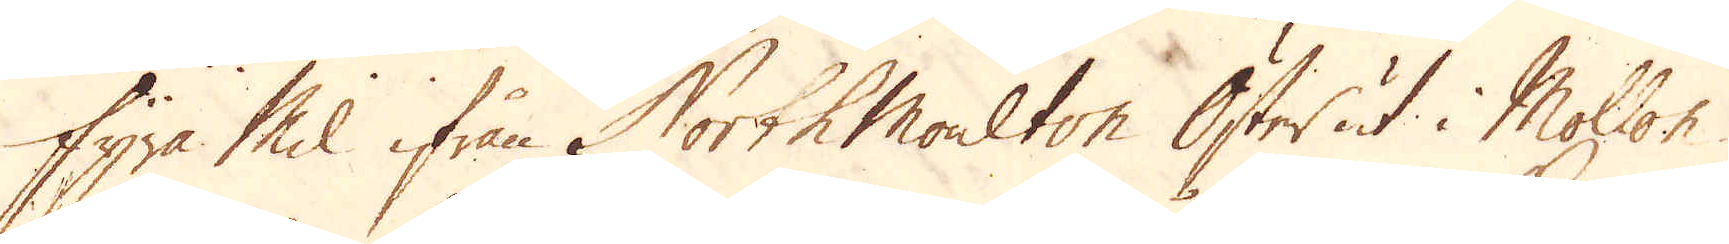Fyra Mil ifrån North Moulton Öster ut i Mollon
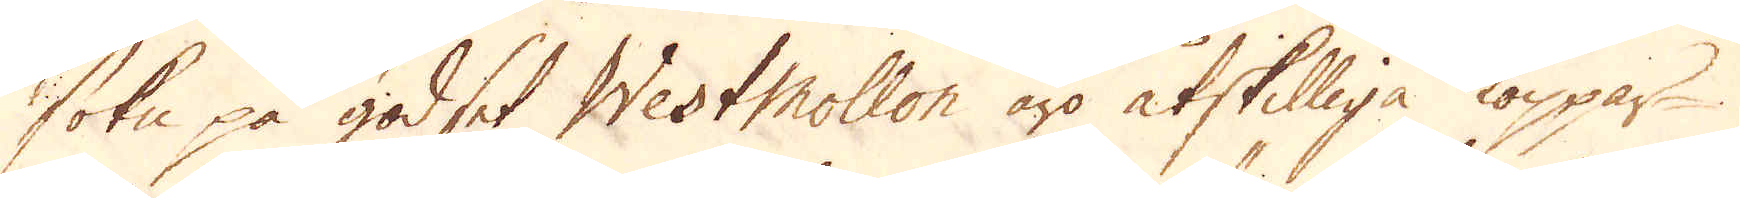sokn på godset WestMollon äro åtskilliga koppar-
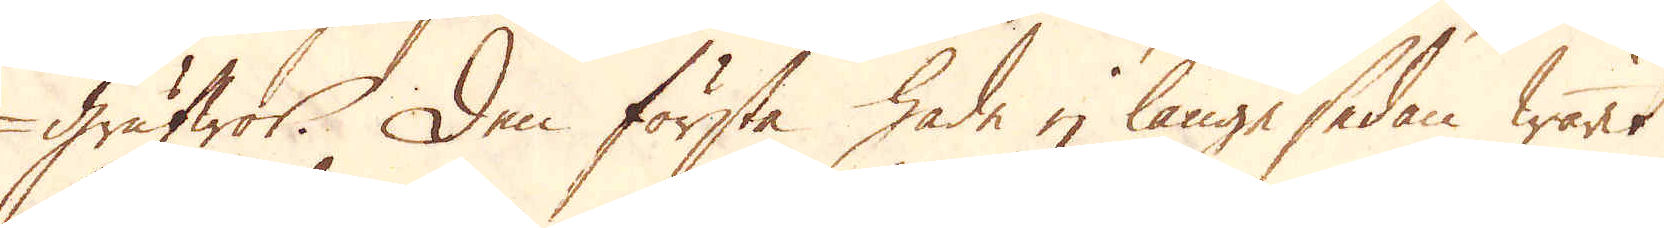grufwor. Den första hade ej länge sedan warit
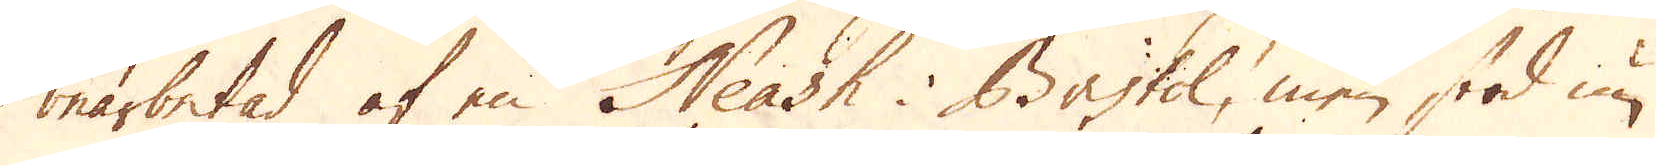bearbetad af en Neash i Bristol, men stod nu
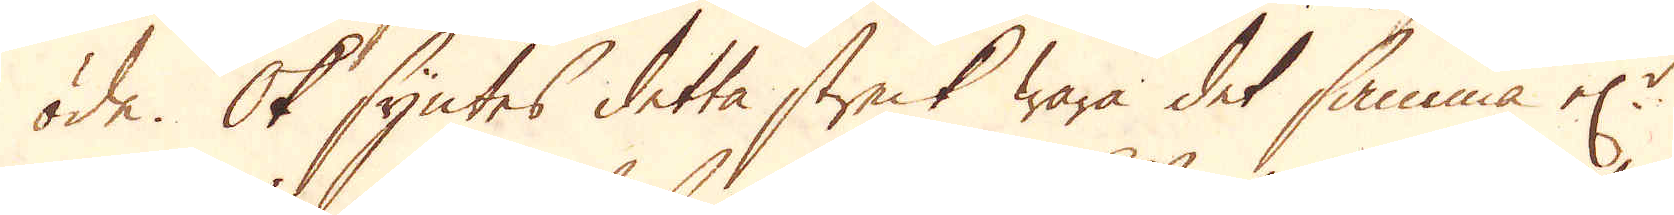öde. Ok syntes detta streck wara det samma el:r
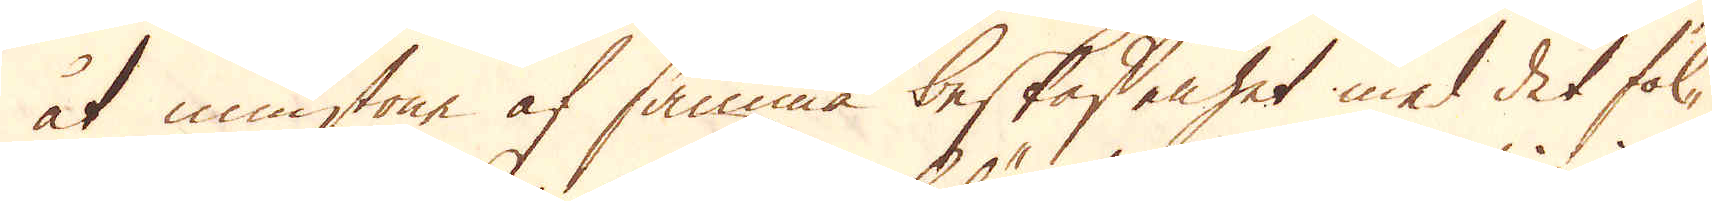åt minstone af samma beskaffenhet med det föl-
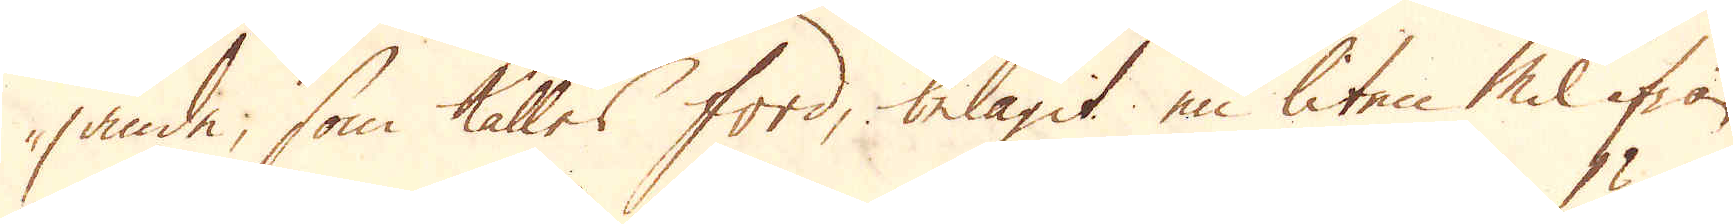jande, som kalles ford, belägit en liten Mil ifrån
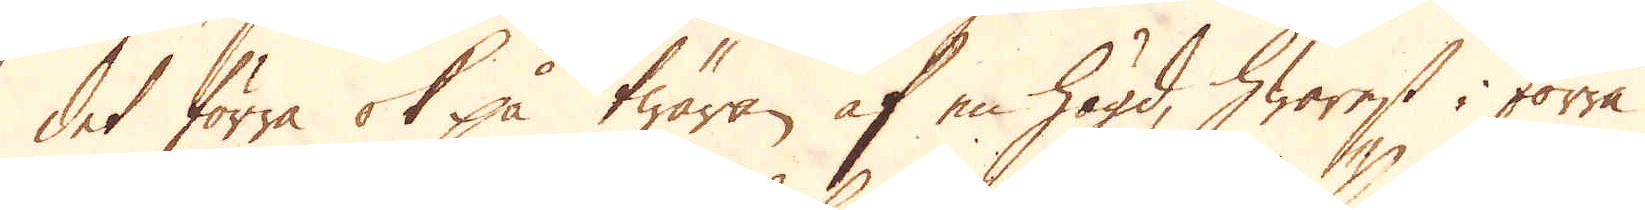det förra ok på twäran af en högd, hwarest i förra
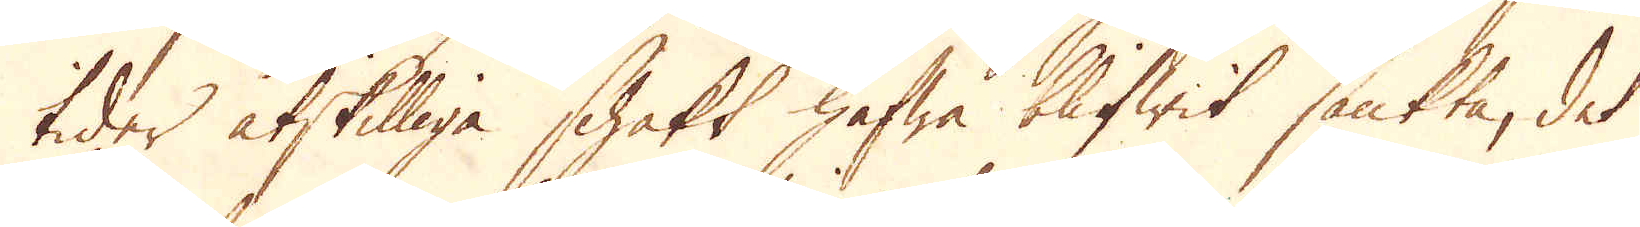tider åtskilliga schakt hafwa blifwit sänkta, det
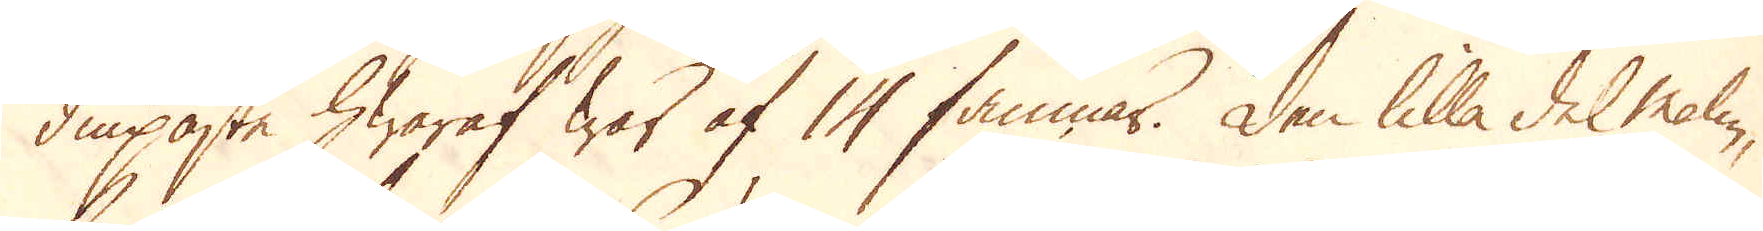diupaste hwaraf war af 14 famnar. Den lilla del malm,
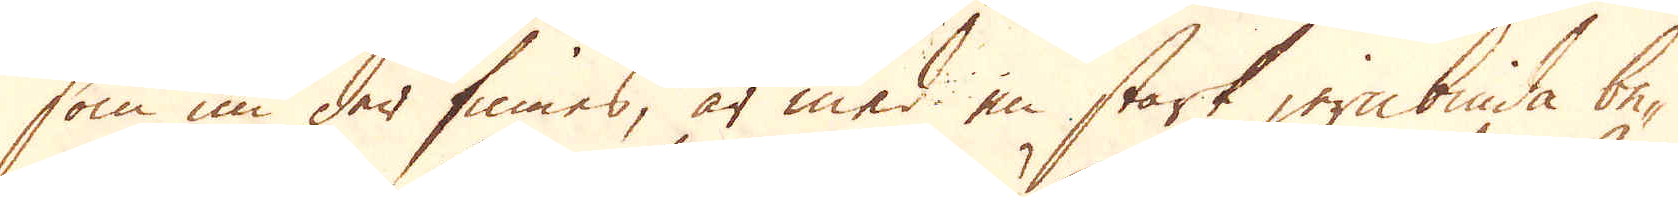som nu der finnes, är med en stark jernbinda be-
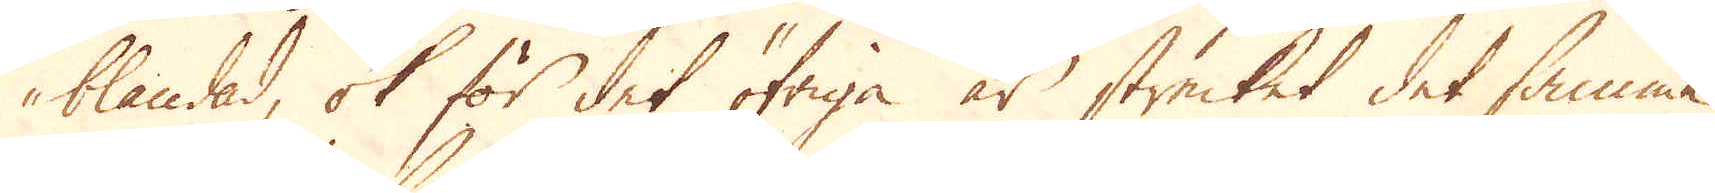blandad, ok för det öfriga är strecket det samma
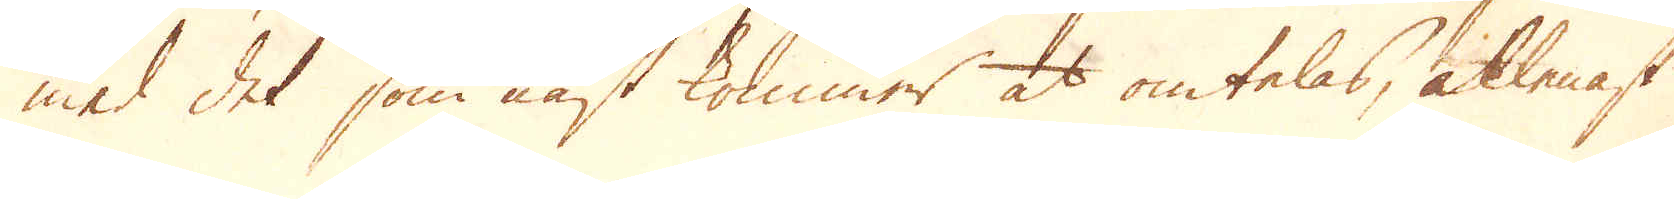med det som näst kommer at omtelas, allenast
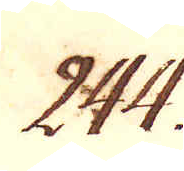244.
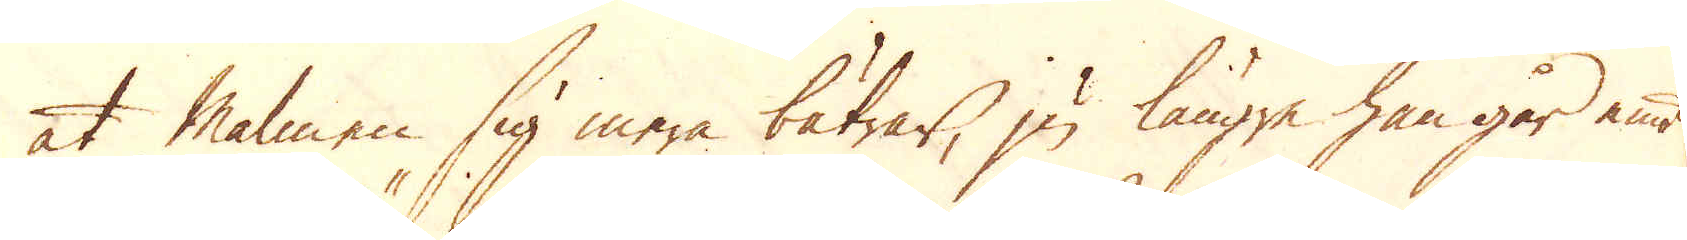at malmen sig mera bätrar, ju längre han går emot
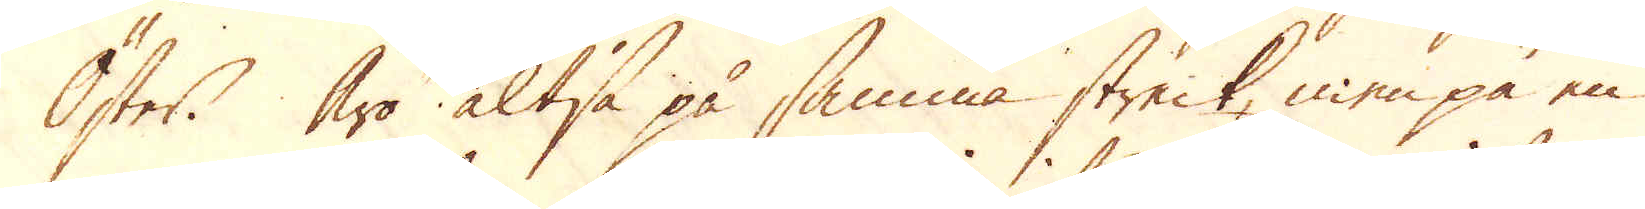Öster. Äro altså på samma streck, men på en
